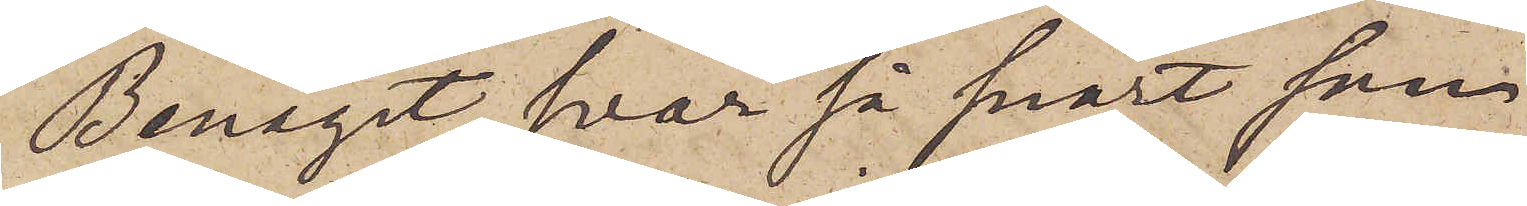Benäget svar så snart som
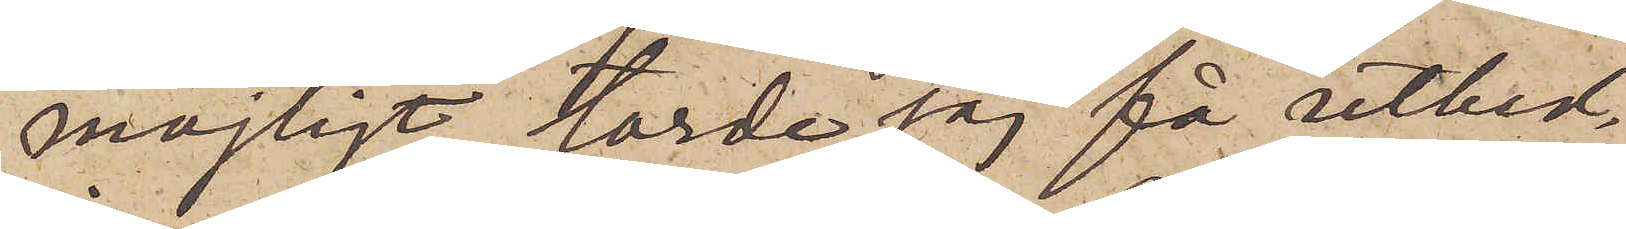möjligt torde jag få utbed¬
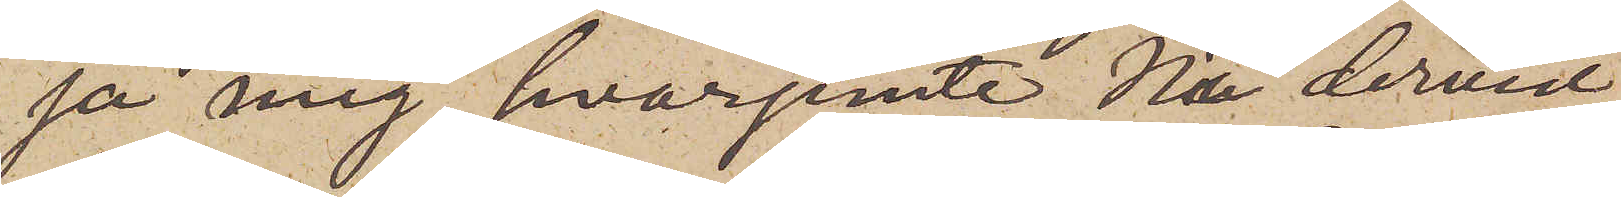ja mig, hvarjemte Ni dervid
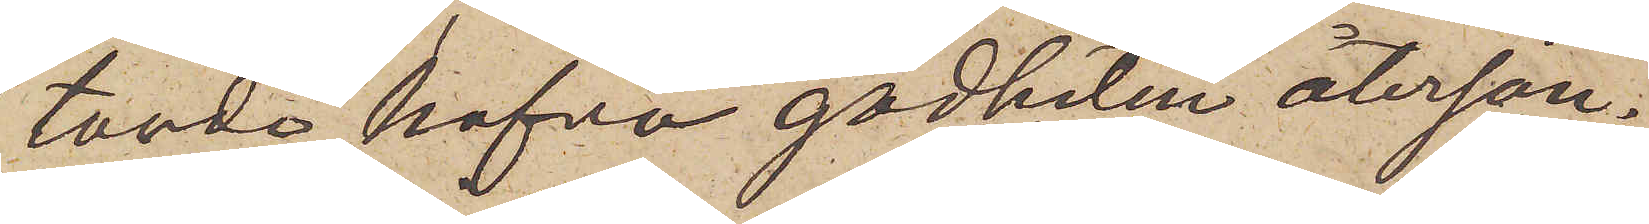torde hafva godheten återsän¬
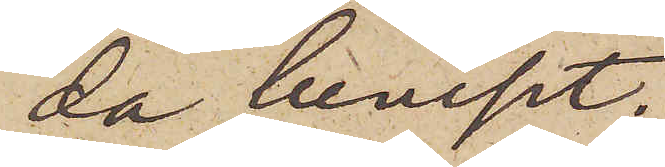da beviset.
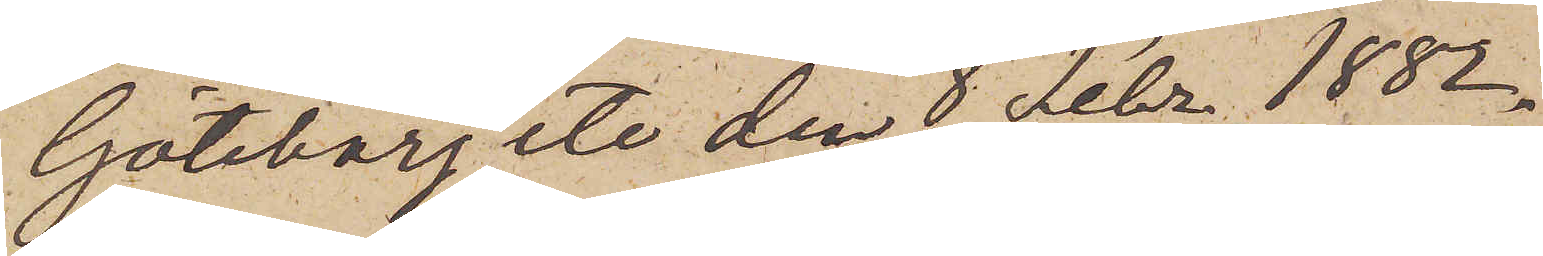Göteborg etc den 8 Febr. 1882.
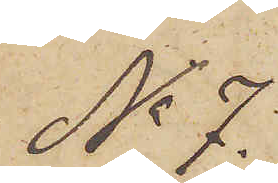No 7.
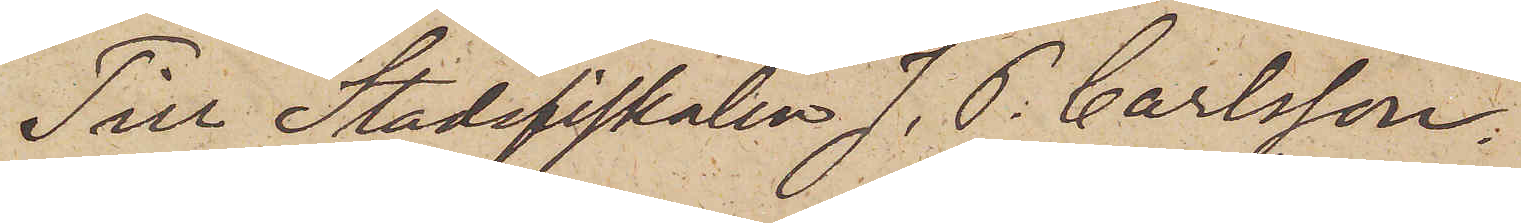Till Stadsfiskalen J. P. Carlsson.
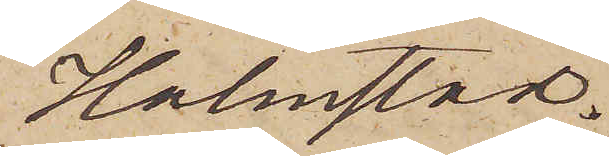Halmstad.
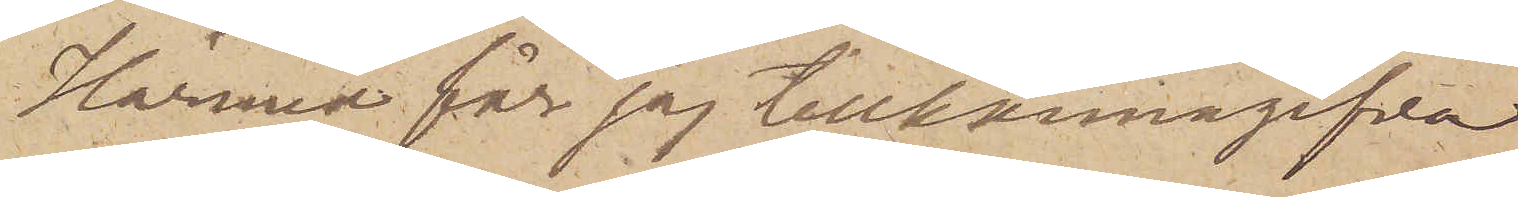Härmed får jag tillkännagifva
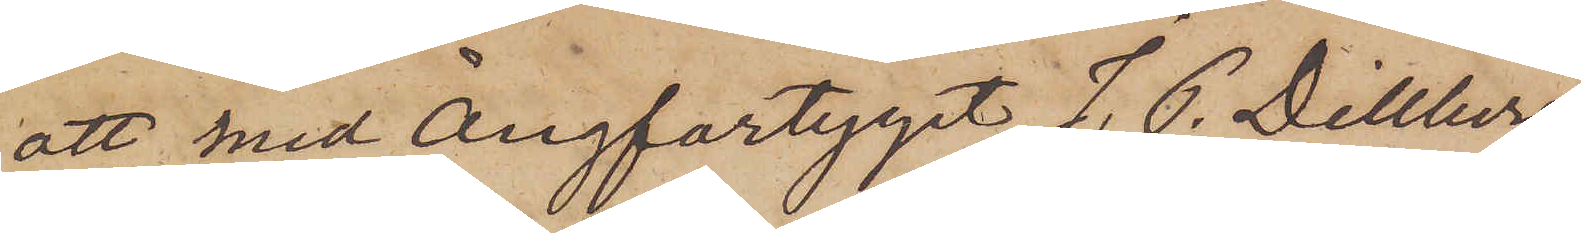att med Ångfartyget J. P. Dillberg
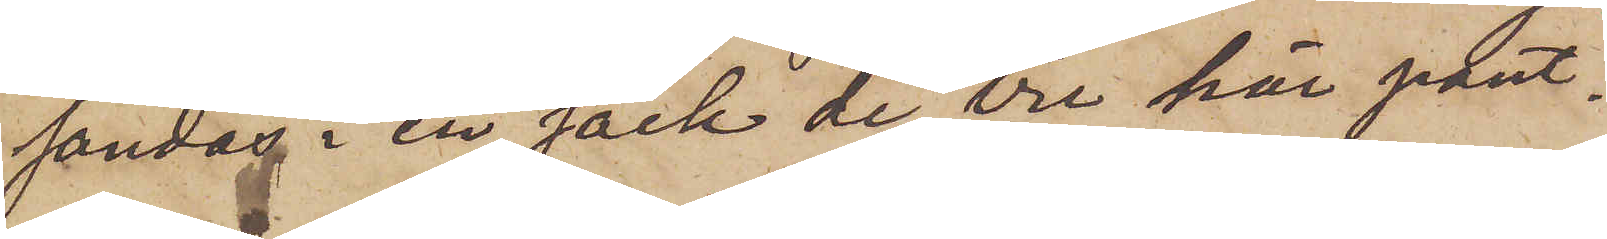sändas i en säck de tre här pant¬
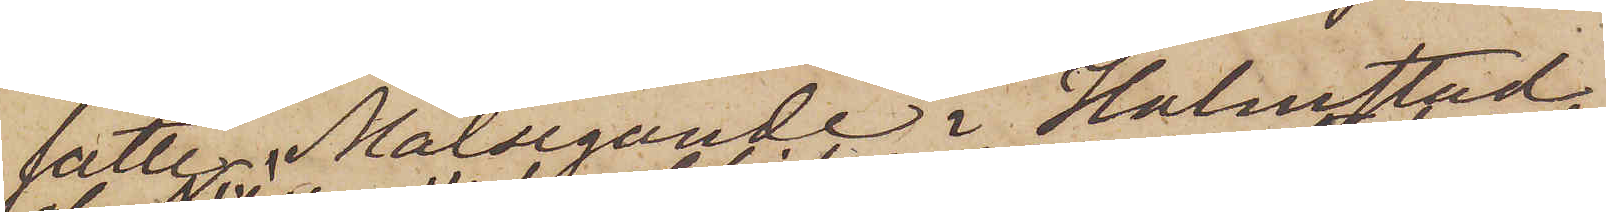satte, Målsegande i Halmstad
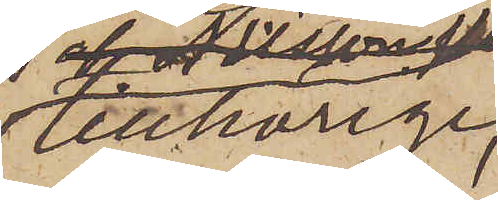tillhörige,
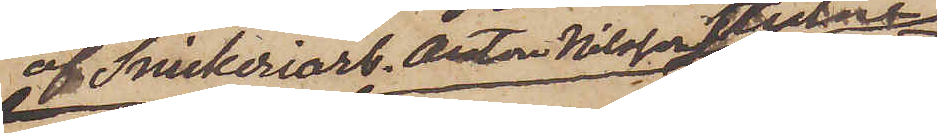af Snickeriarb. Anton Nilsson stulne
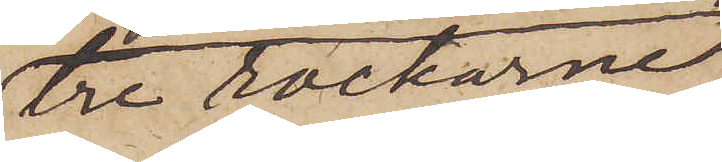tre rockarne,
